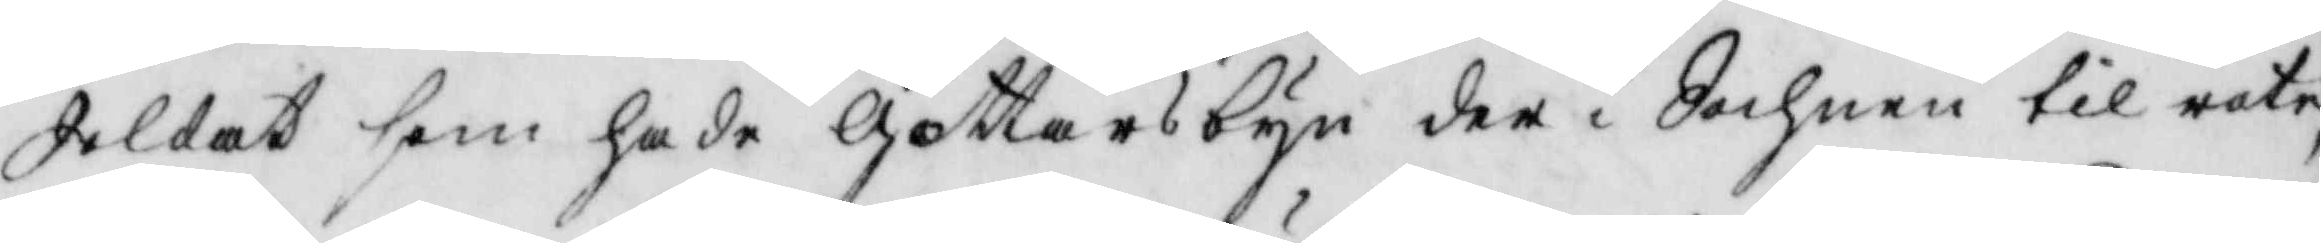Soldat som hade Gottarsbyn der i Sochnen til rote,
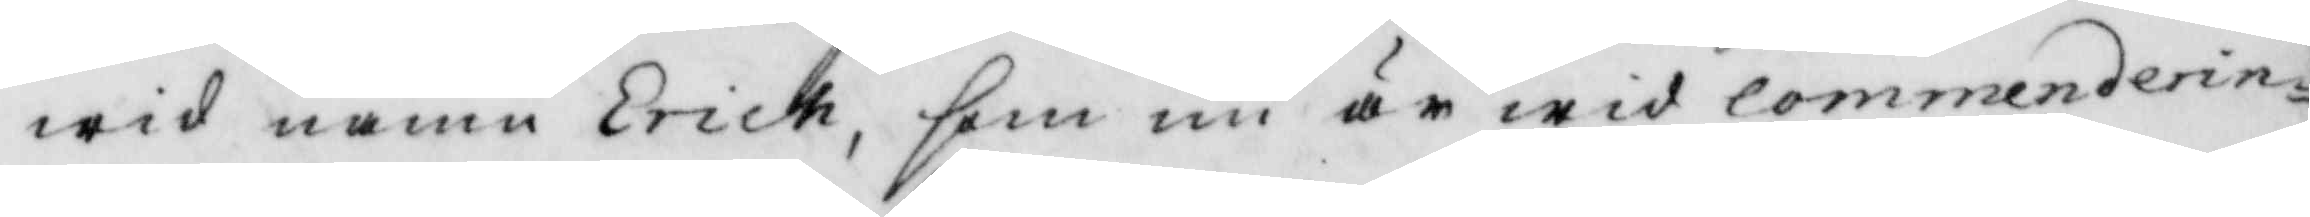wid namn Erick, som nu är wid commenderin¬ 
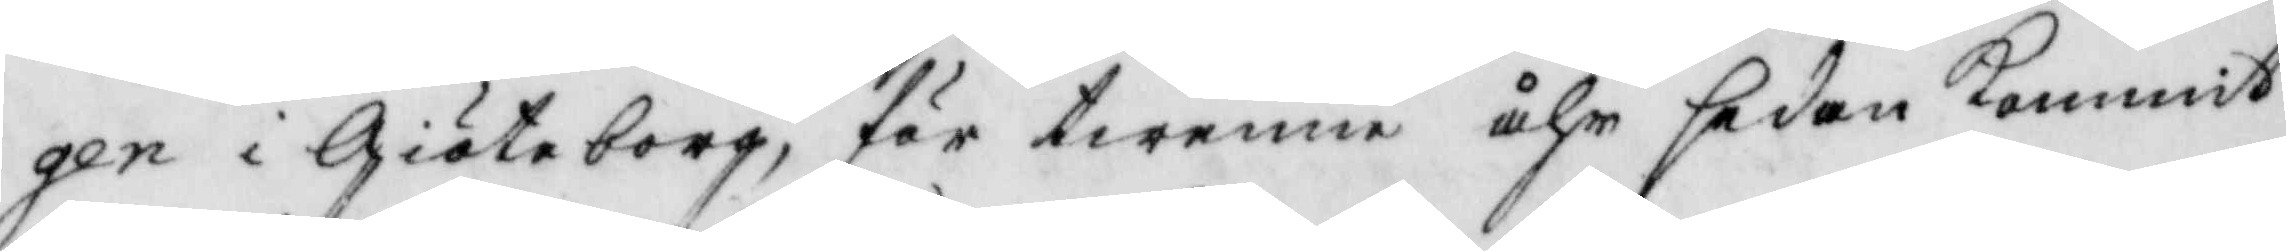gen i Giöteborg, för twenne åhr sedan kommit
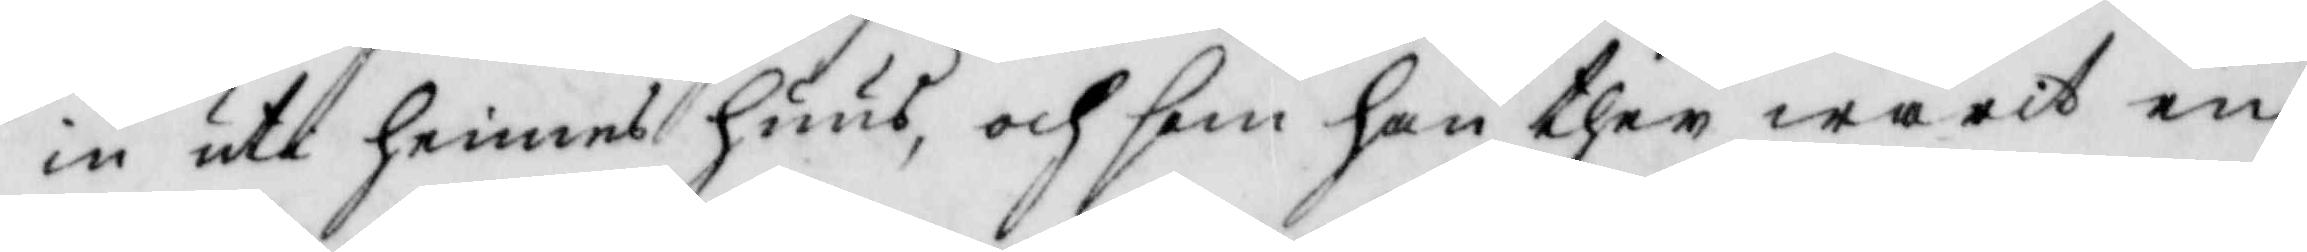in uti hennes huus, och som han ther warit en
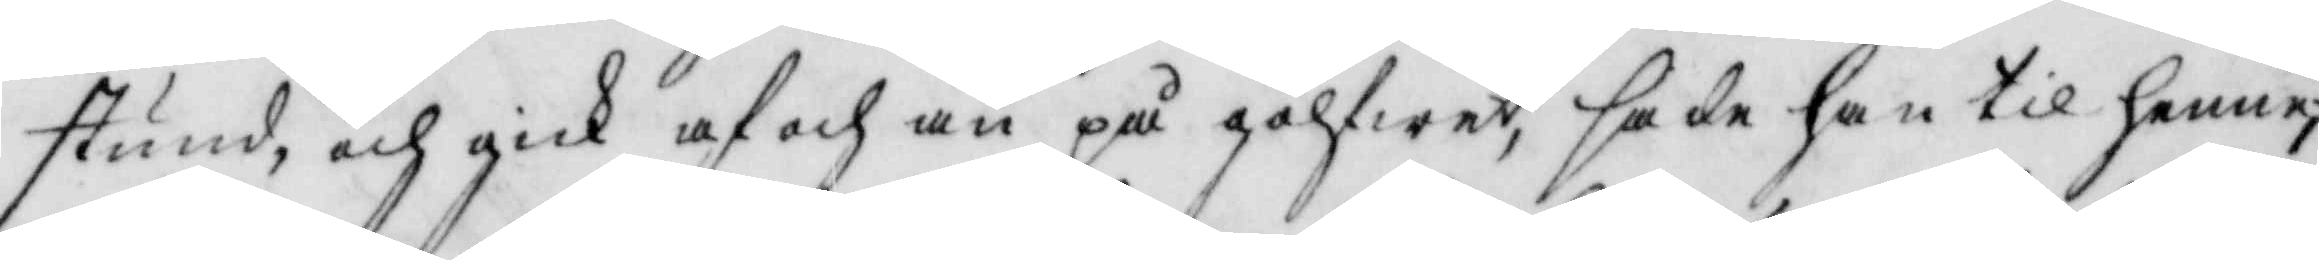stund, och gick af och an på golfwet, sade han til henne;
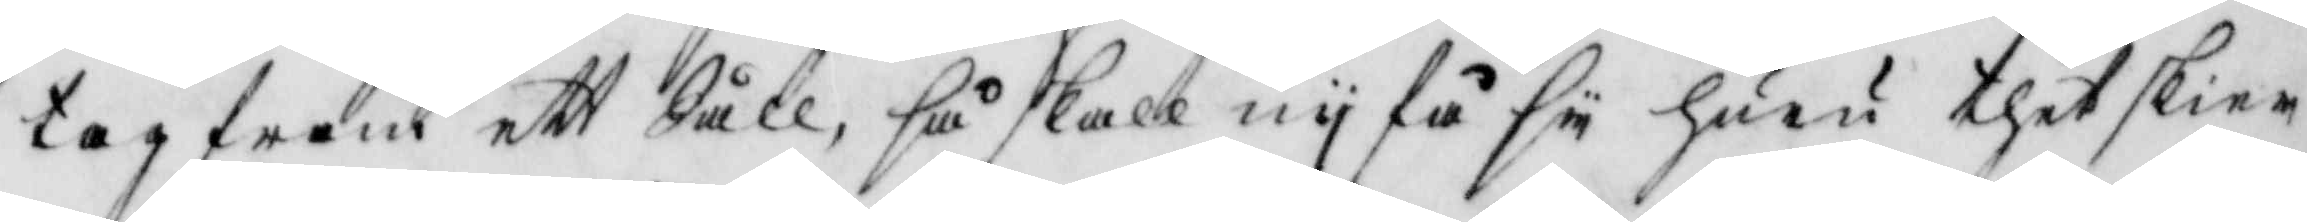tag fram ett Såll, så skall ny få sy huru thet skier
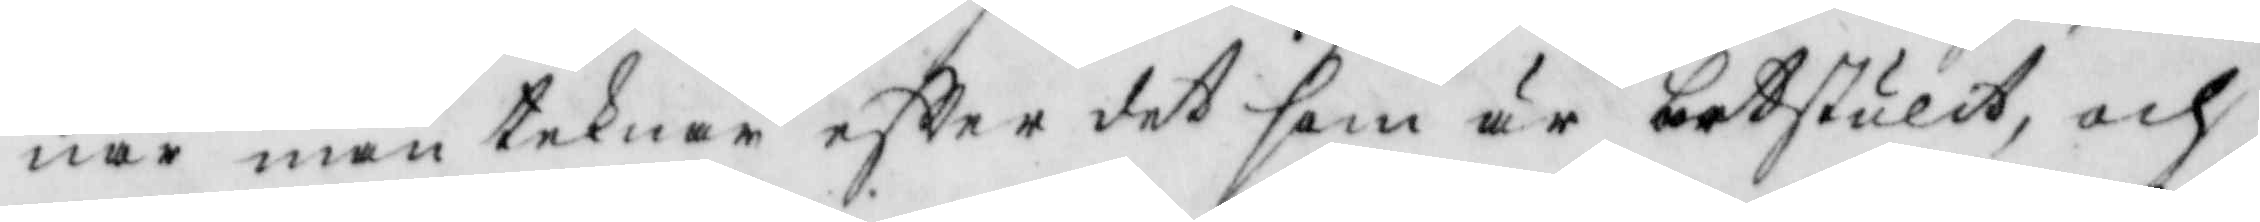när man teknar eftter det som är bortstulit, och
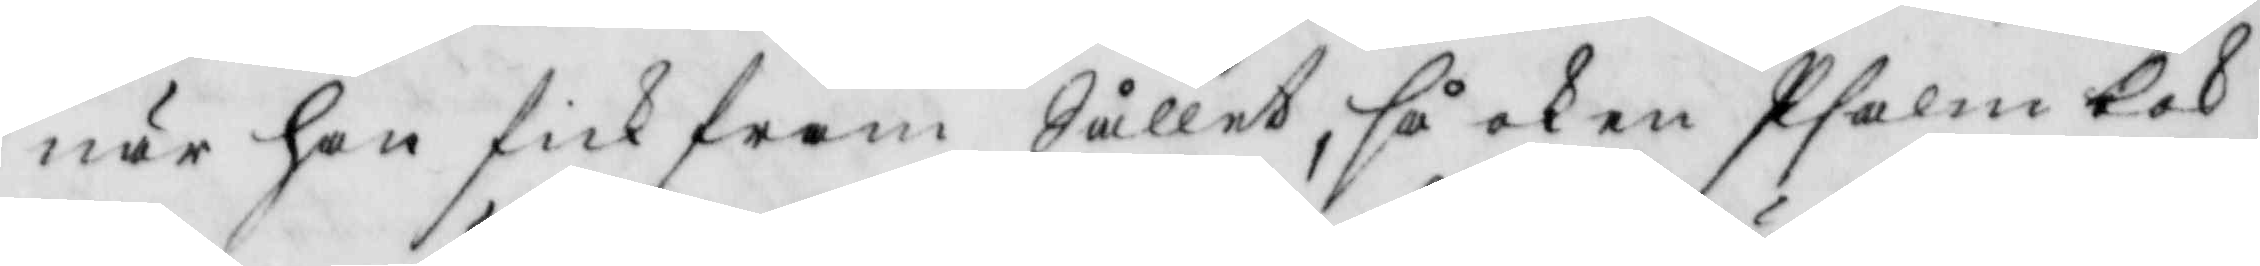när han fick fram Sållet, så ock en Psalmbok
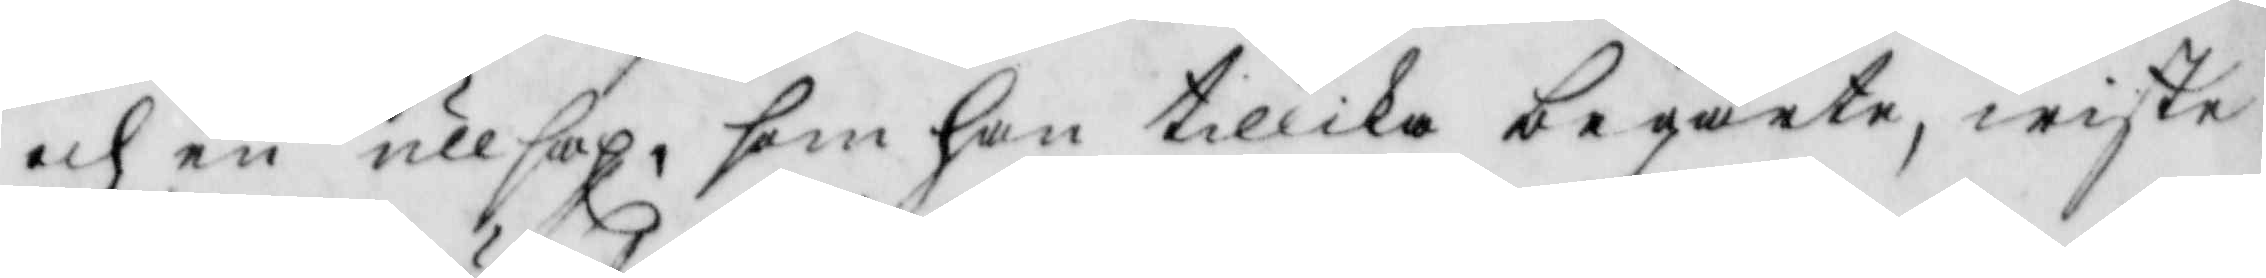och en ullsax, som han tillika begärte, wiste
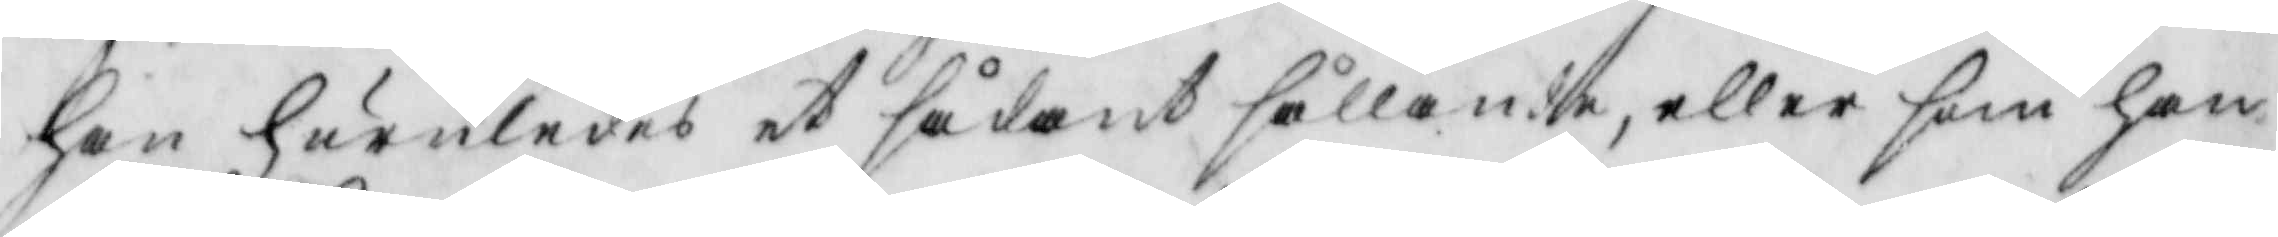han huruledes et sådant sållande, eller som han
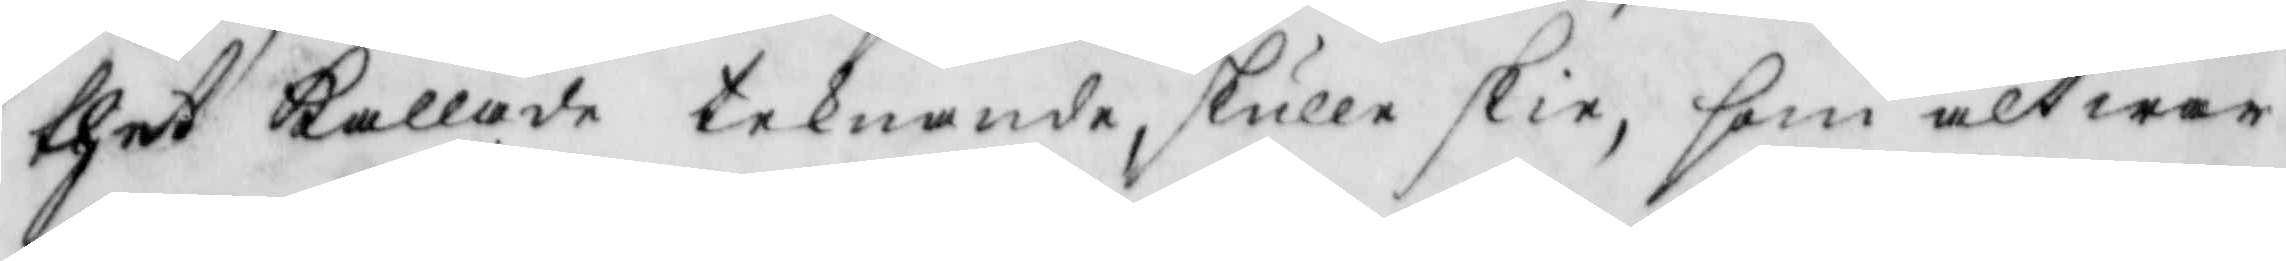thet kallade teknande, skulle skie, som alt war
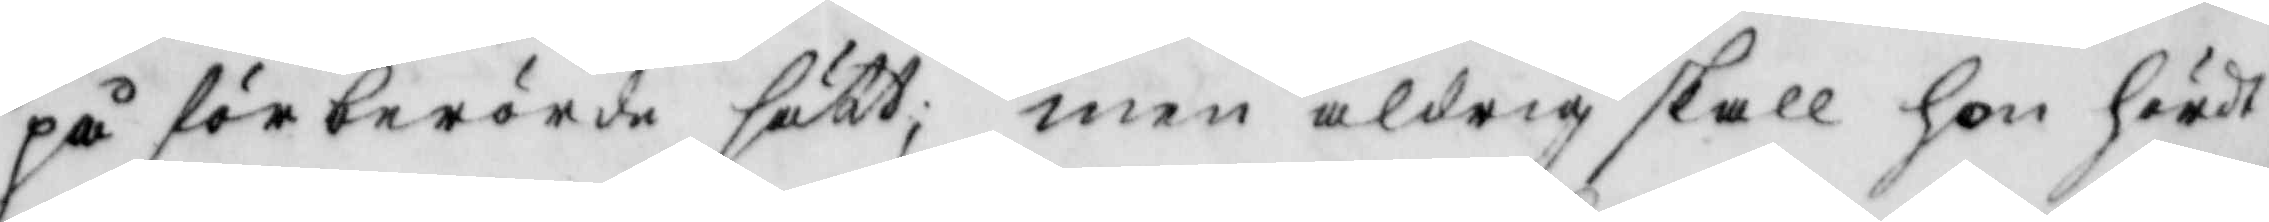på förberörde sätt; men aldrig skall hon hördt
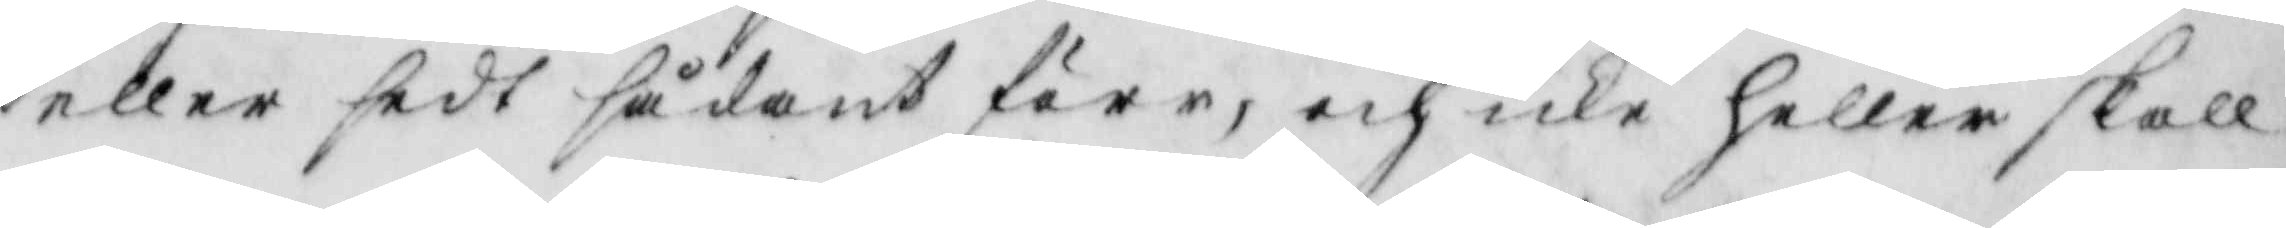eller sedt sådant förr, och icke heller skall
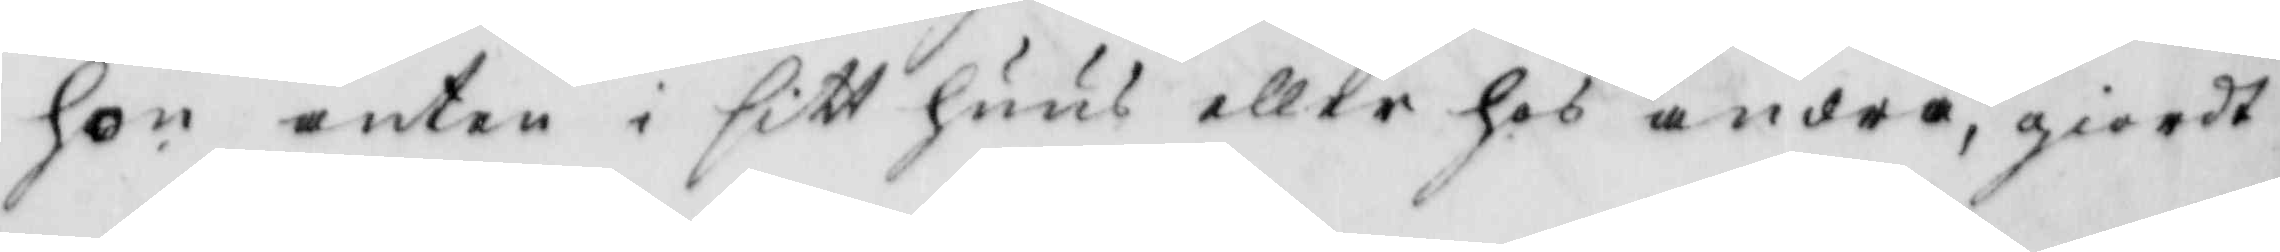hon anten i sitt huus eller hos andra, giordt
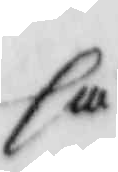så
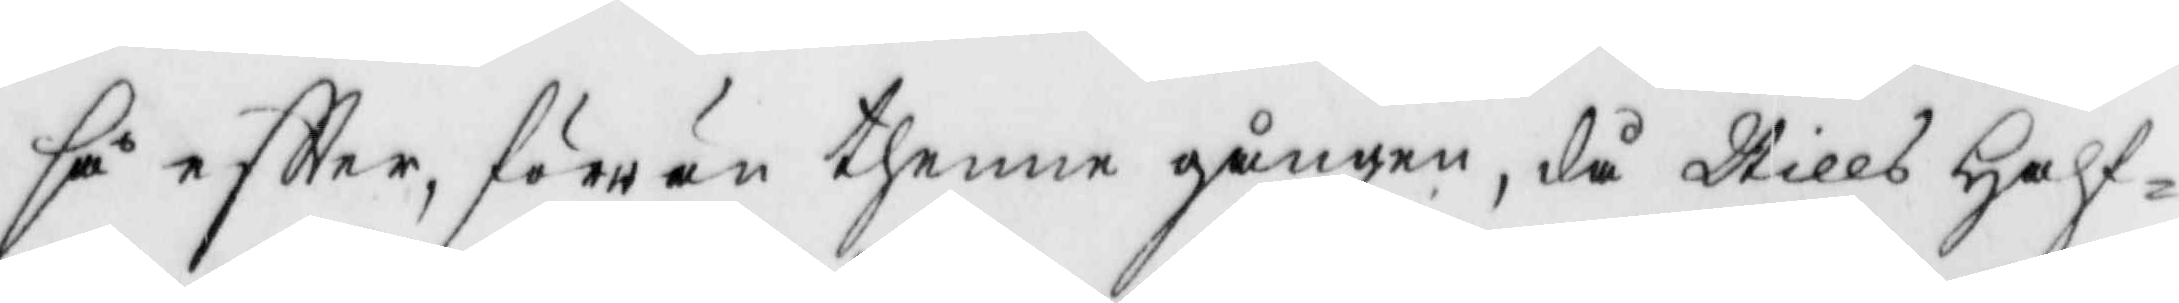så eftter, förrän thenne gången, då Nills Half¬
